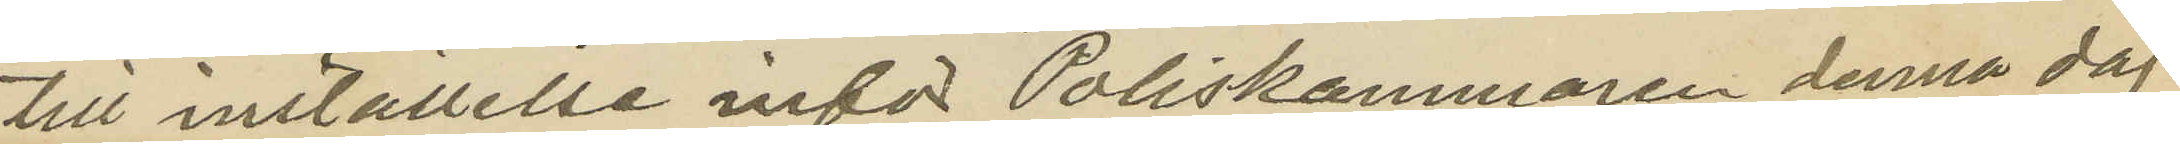till inställelse inför Poliskammaren denna dag.
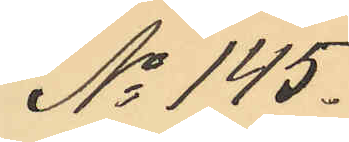No 145.
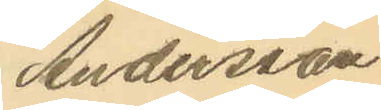Andersson
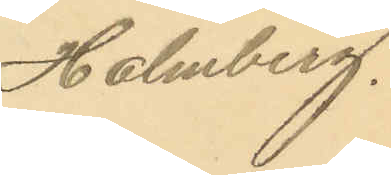Holmberg.
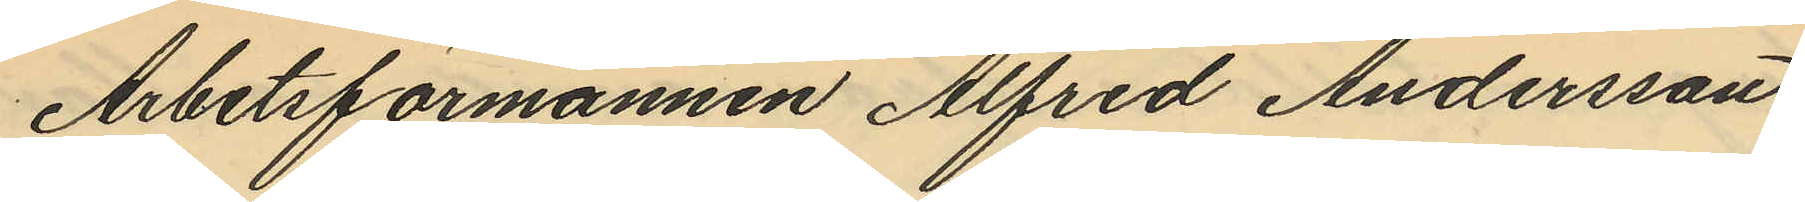Arbetsförmannen Alfred Andersson,
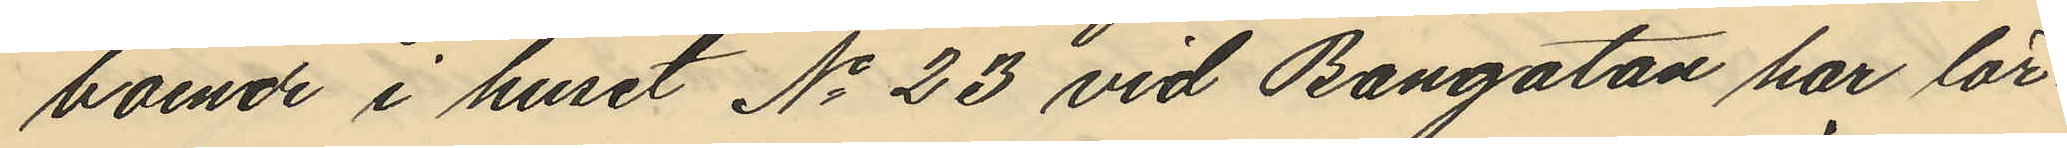boende i huset No 23 vid Bangatan har lör¬
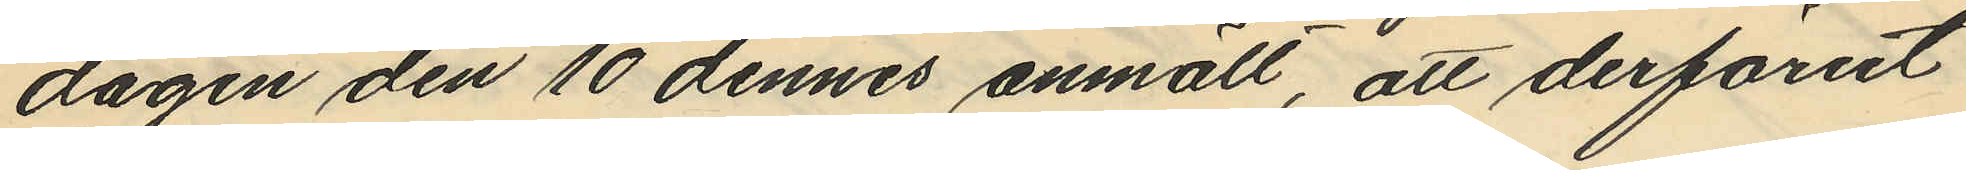dagen den 10 dennes anmält, att derförut
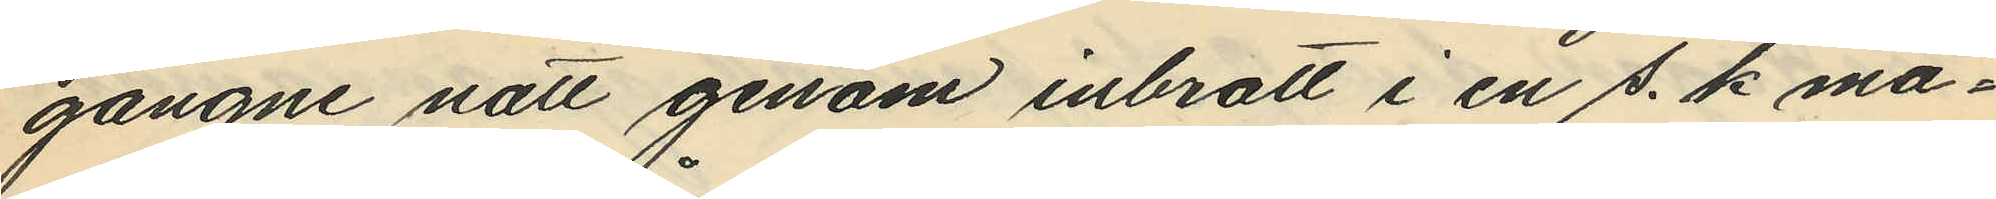gångne natt genom inbrott i en s. k. ma¬
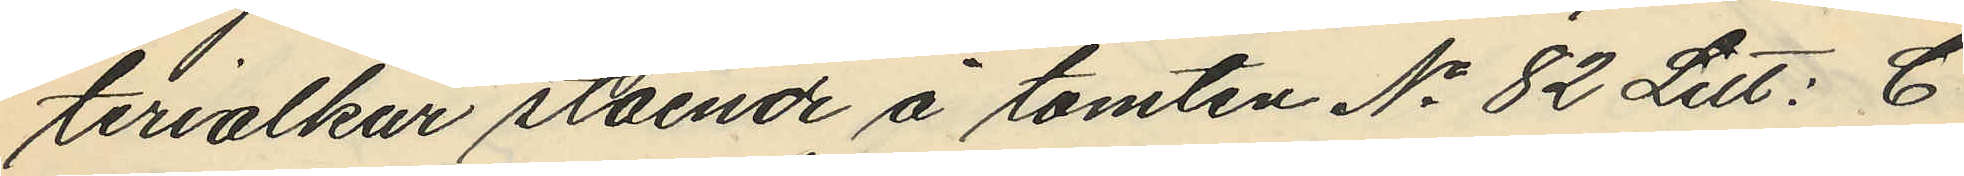terialkur stående å tomten No 82 Litt: C
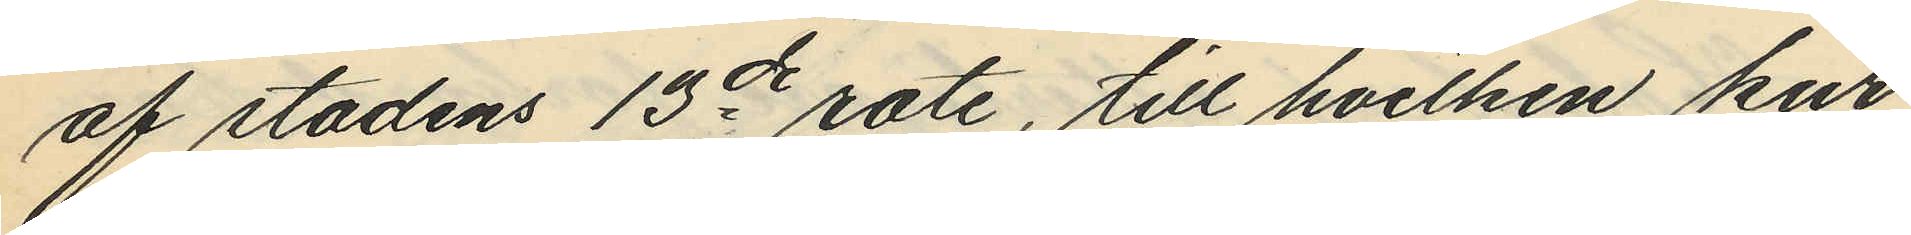af stadens 13de rote, till hvilken kur
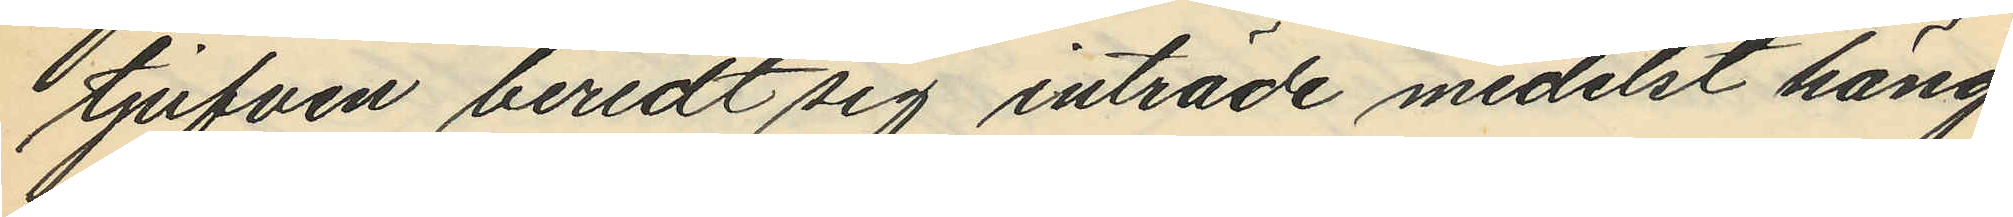tjufven beredt sig inträde medelst häng¬
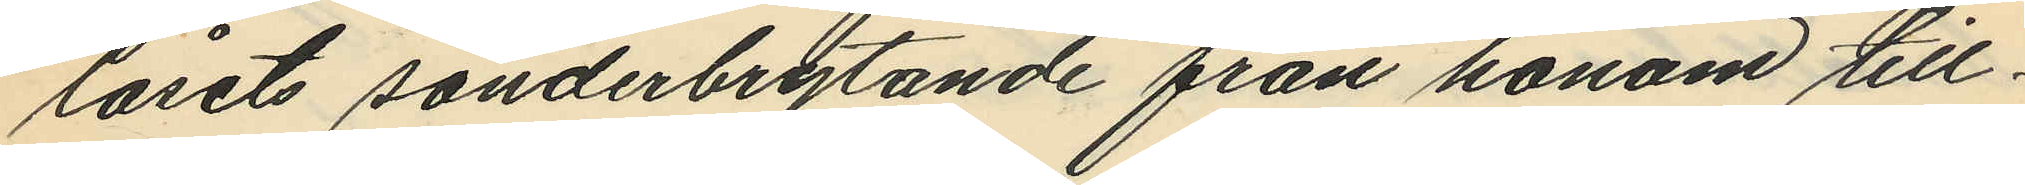låsets sönderbrytande från honom till¬
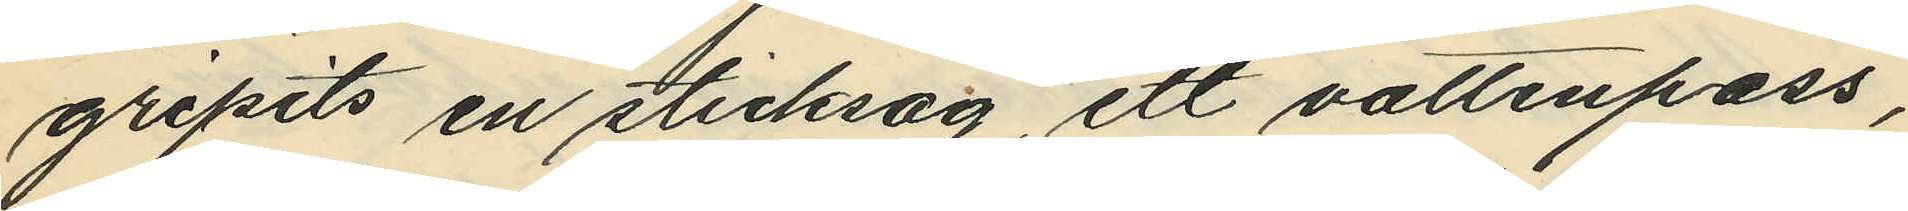gripits en sticksåg, ett vattenpass,
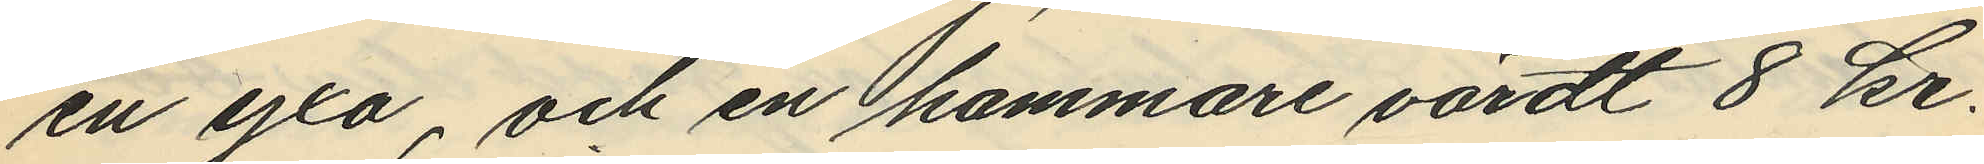en yxa, och en hammare värdt 8 kr.
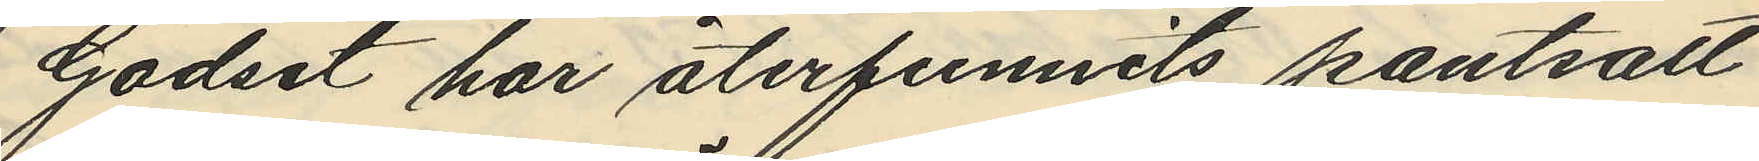Godset har återfunnits pantsatt
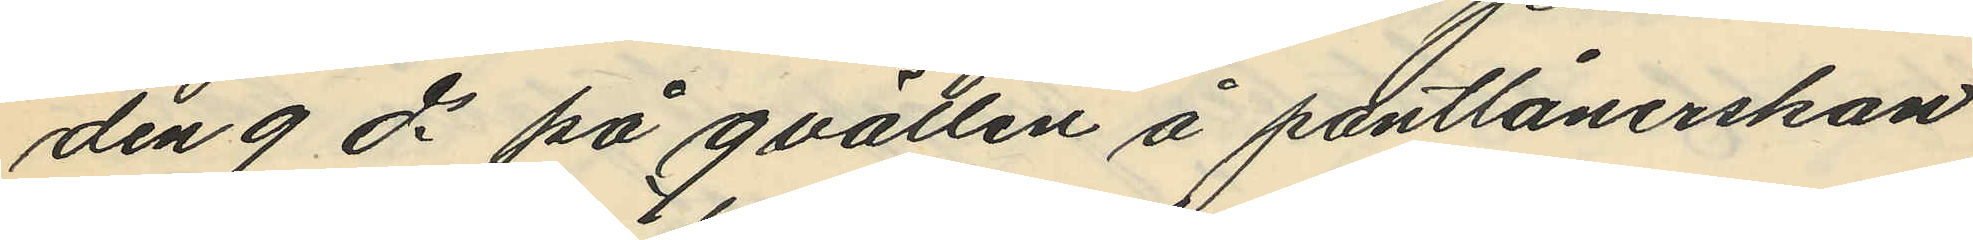den 9 ds på qvällen å pantlånerskan
